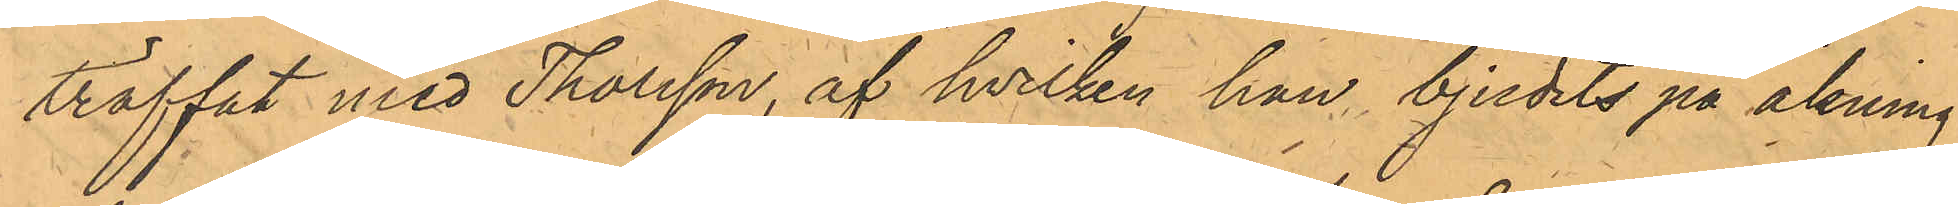träffat med Thorsson, af hvilken han bjudits på åkning
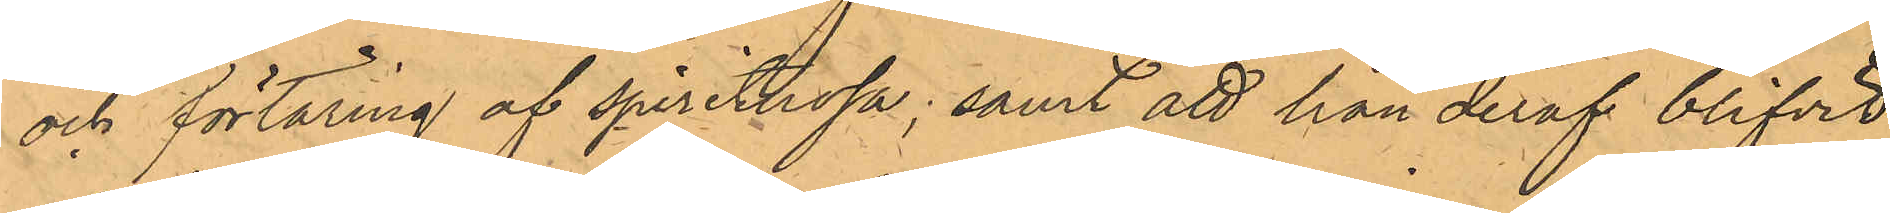och förtäring af spirituosa; samt att han deraf blifvit
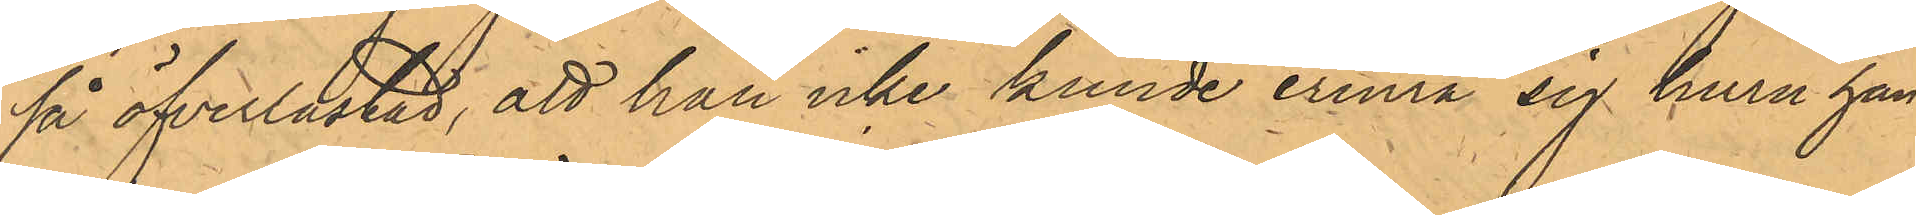så öfverlastad, att han icke kunde erinra sig huru han
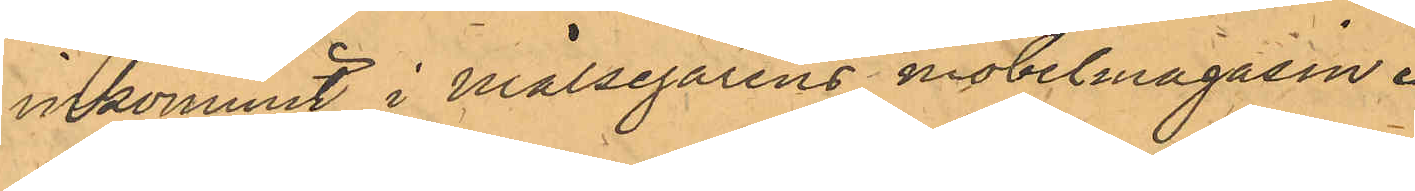inkommit i Målsegarens möbelmagasin.
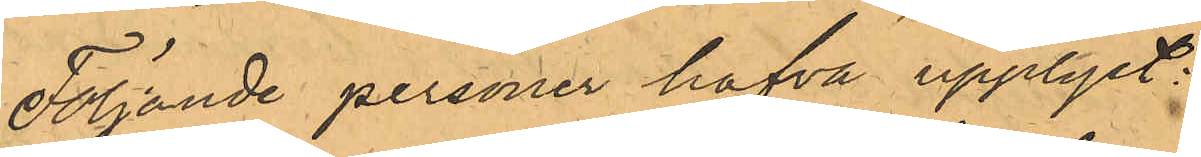Följande personer hafva upplyst:
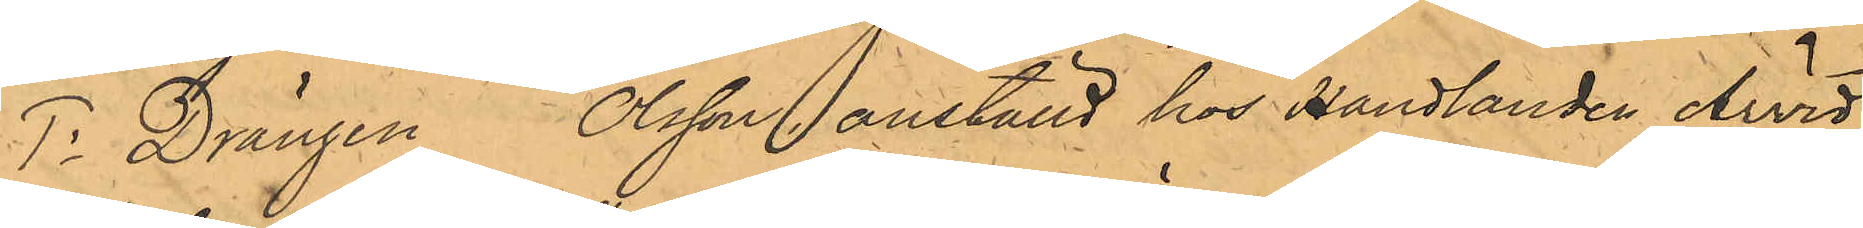1o Drängen Olsson anställd hos Handlanden Arvid
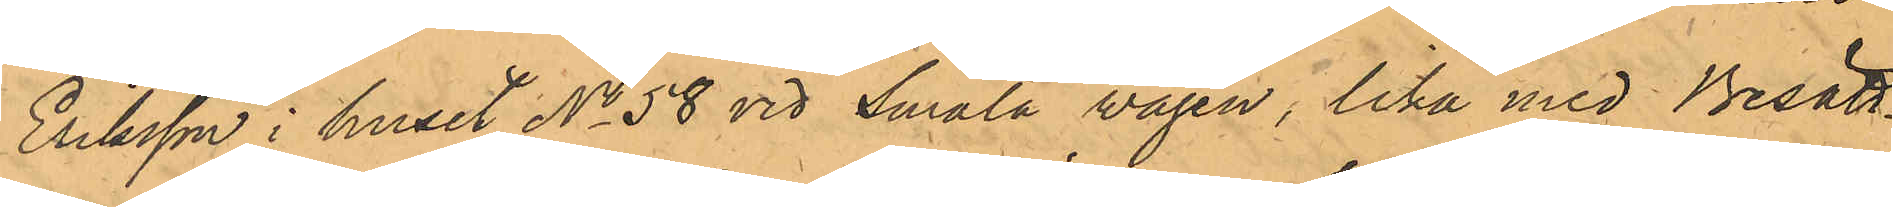Eriksson i huset No 58 vid Smala vägen, lika med Besätt¬
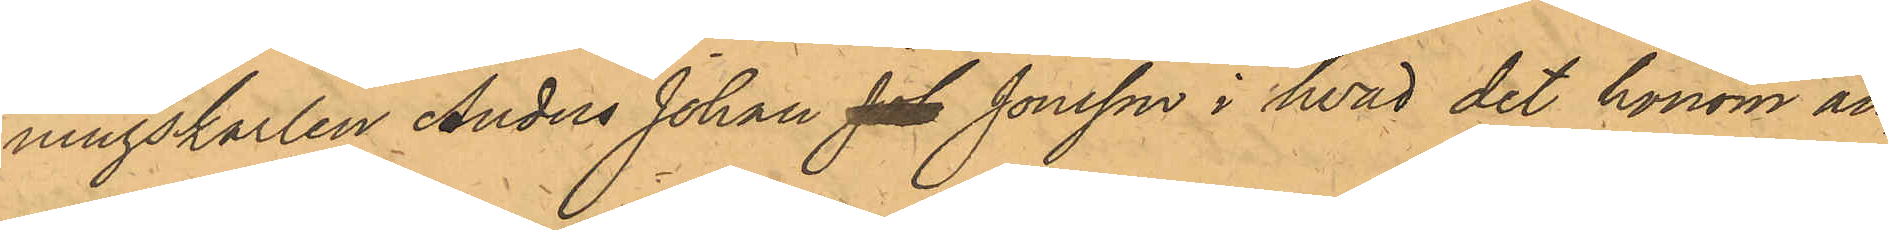ningskarlen Anders Johan Joh Jonsson i hvad det honom an¬
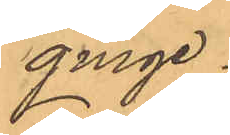ginge.
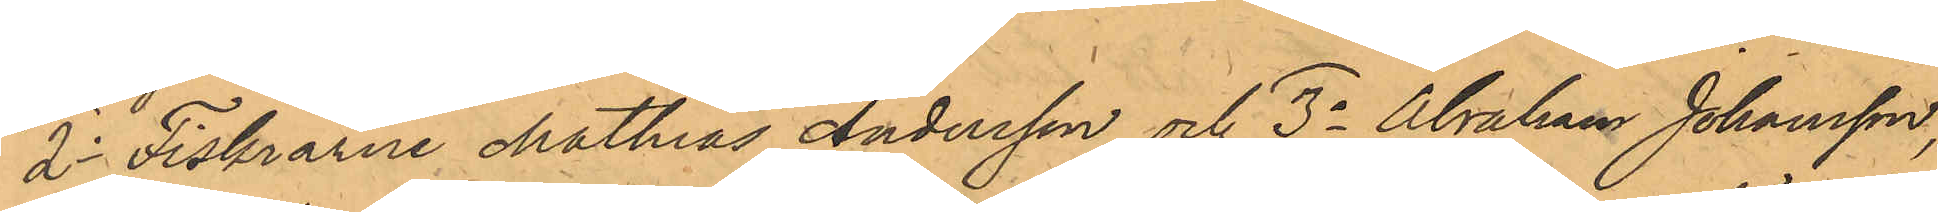2o Fiskrarne Mathias Andersson och 3o Abraham Johansson,
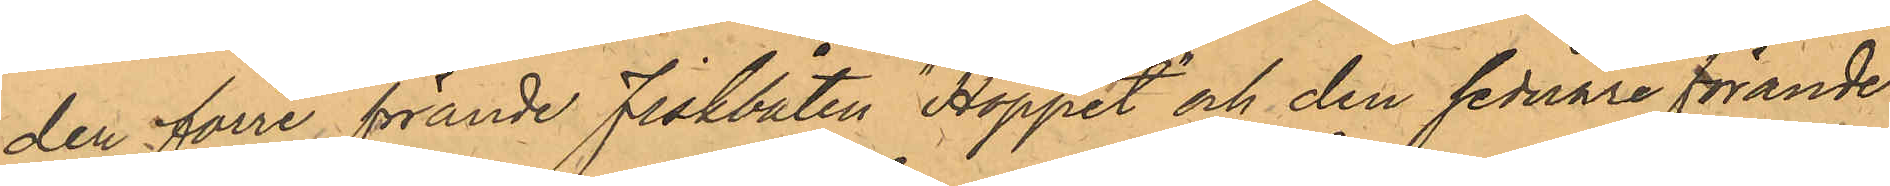den förre förande Fiskbåten "Hoppet" och den sednare förande
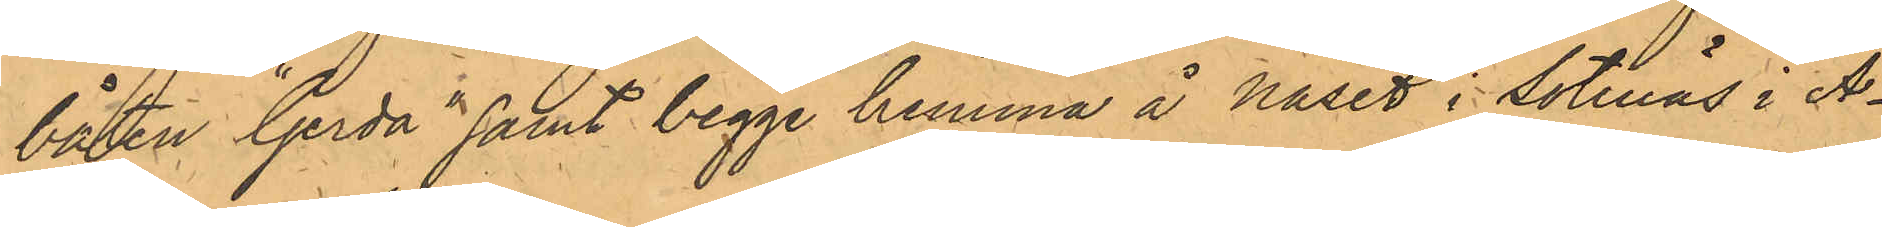båten "Gerda" samt begge hemma å Näset i Sotenäs i A¬
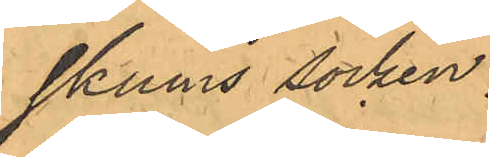skums socken:
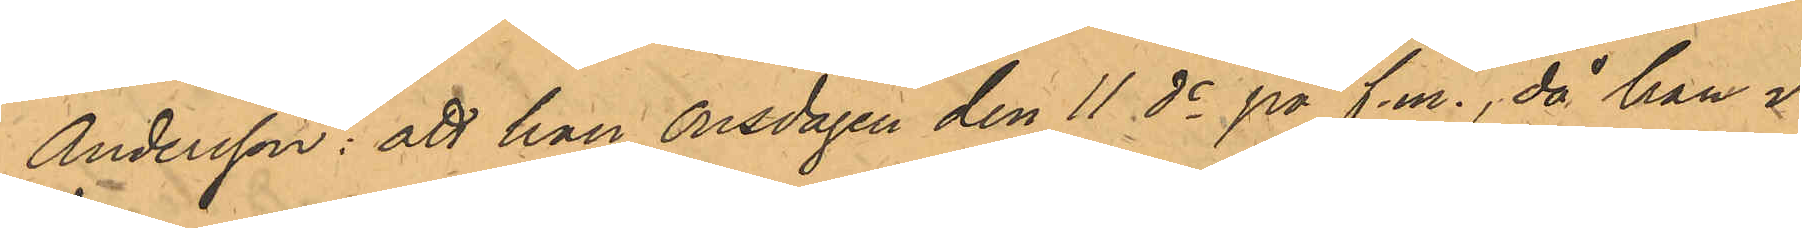Andersson: att han onsdagen den 11 ds på f.m., då han i
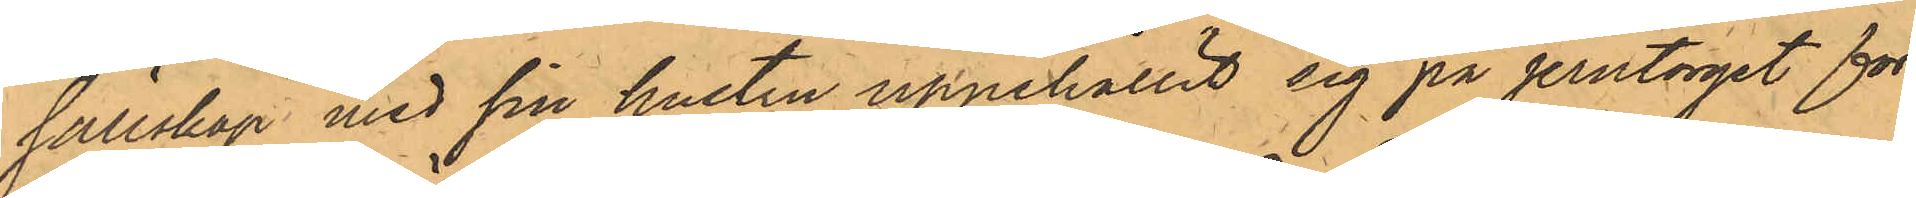sällskap med sin hustru uppehållit sig på jerntorget för
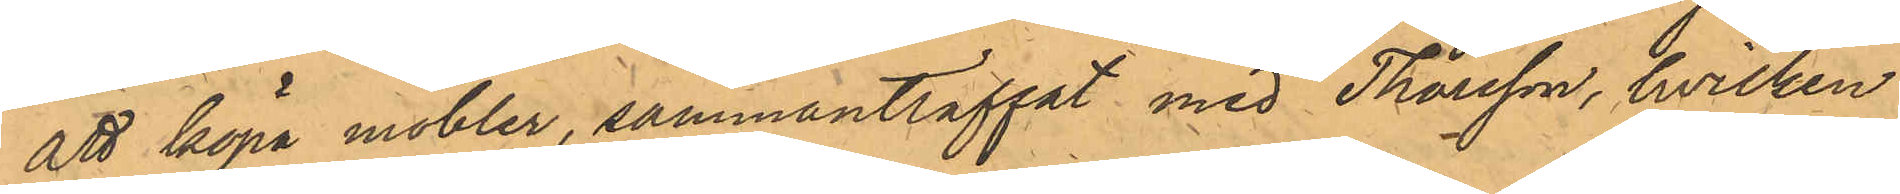att köpa möbler, sammanträffat med Thorsson, hvilken
